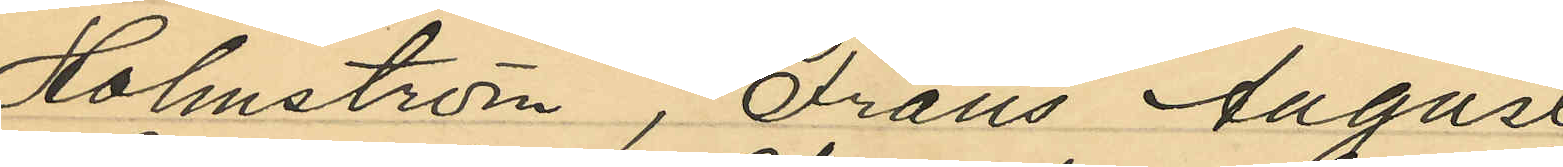Holmström, Frans August
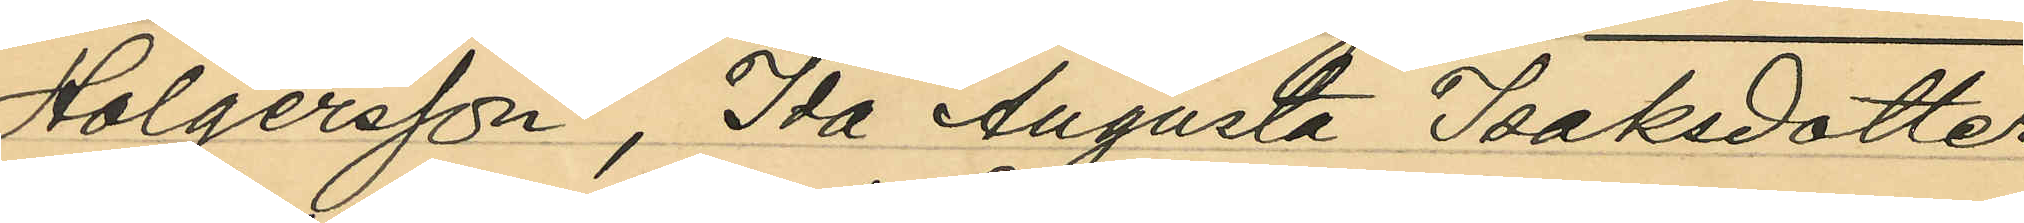Holgersson, Ida Augusta Isaksdotter
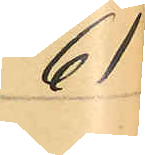61
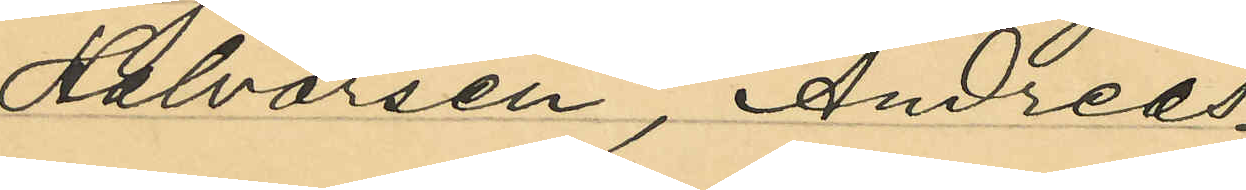Halvorsen, Andreas
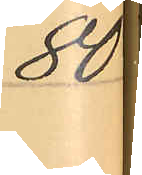80
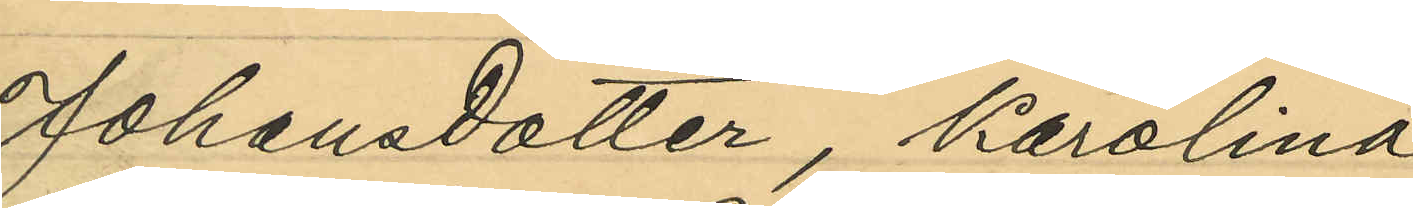Johansdotter, Karolina
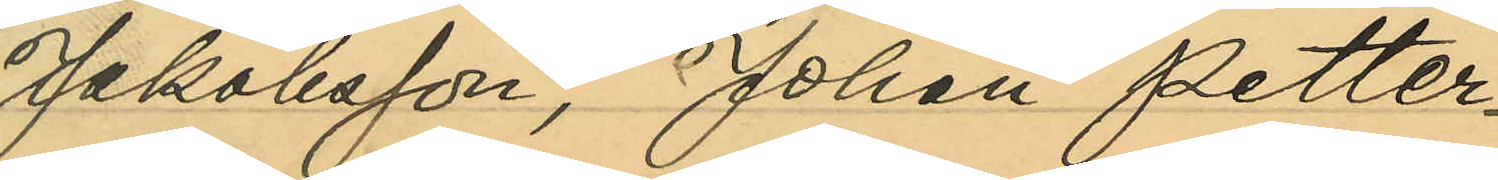Jakobsson, Johan Petter
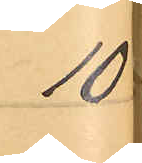10
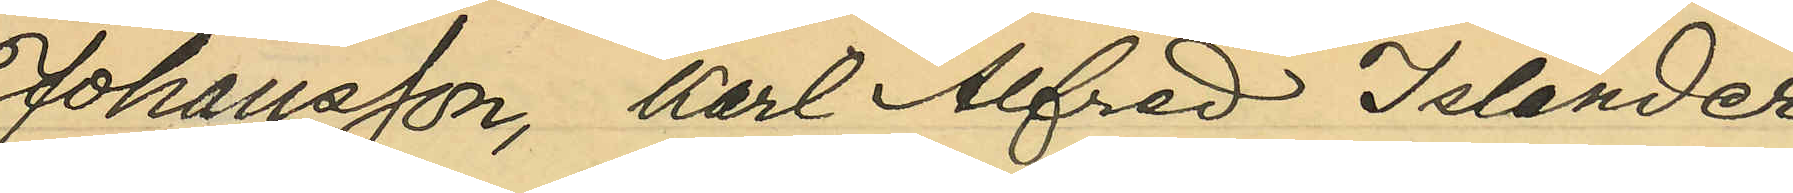Johansson, Karl Alfred Islander
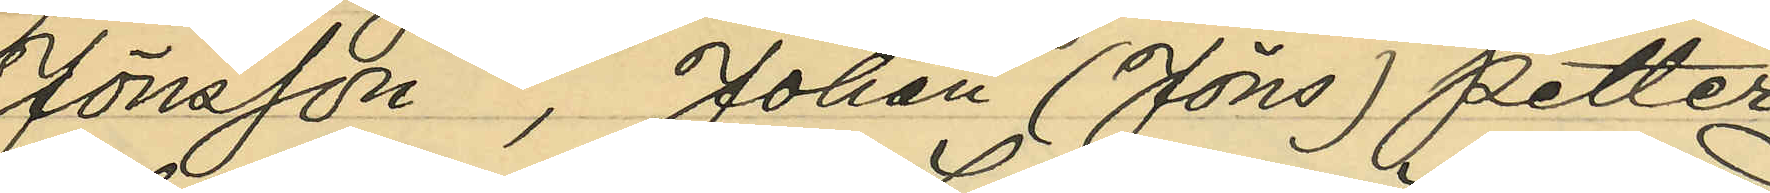Jönsson, Johan (Jöns) Petter
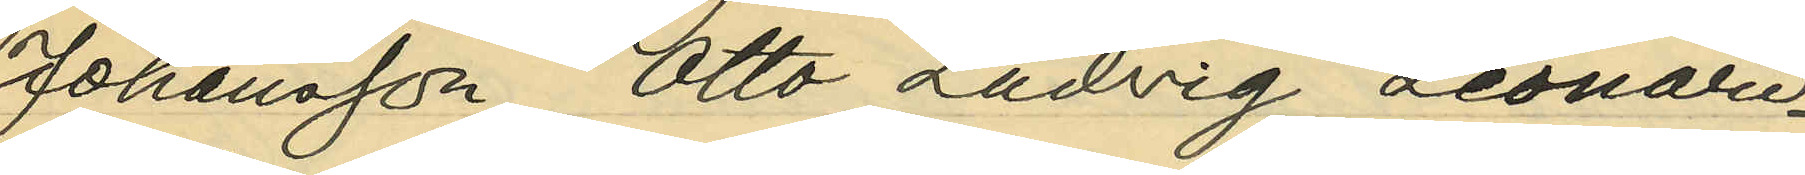Johansson, Otto Ludvig Leonard
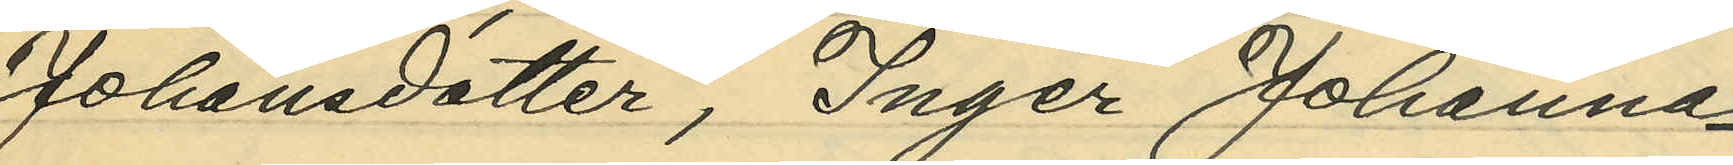Johansdotter, Inger Johanna
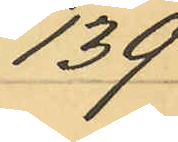139
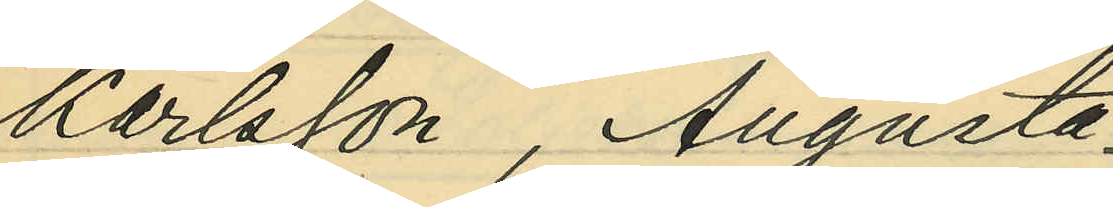Karlsson, Augusta
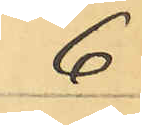6
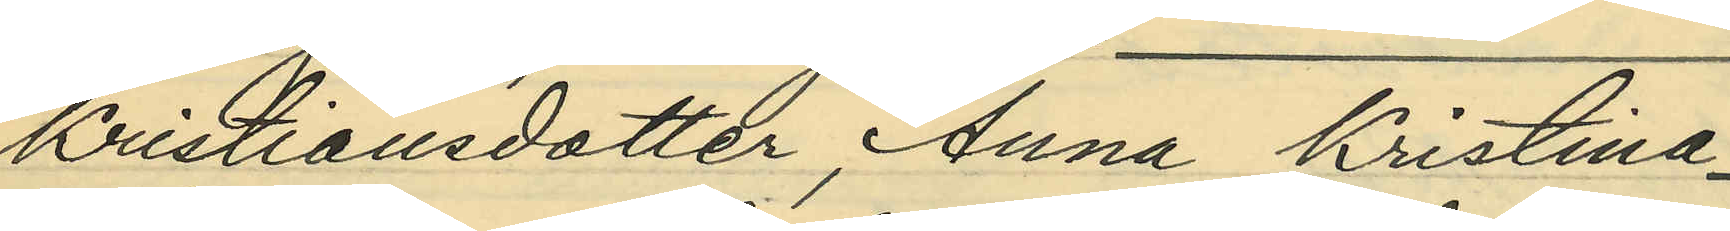Kristiansdotter, Anna Kristina
